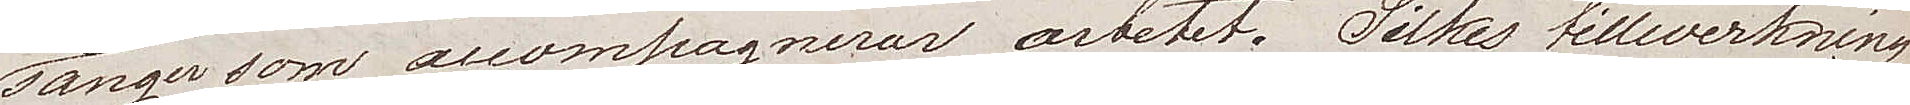sånger som accompagnerar arbetet. Silkes tillverkning
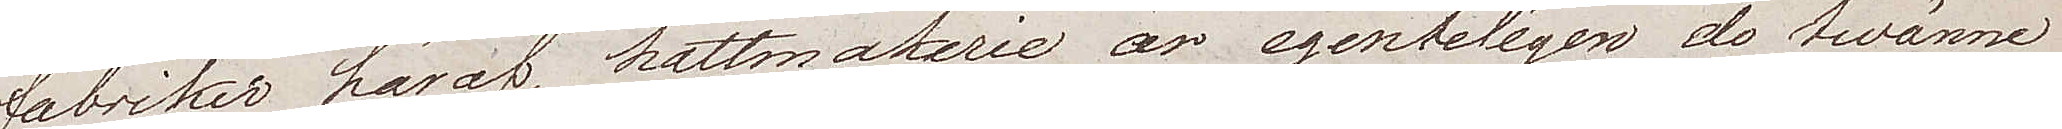fabriker häraf, hattmakerie äro egenteligen de twänne
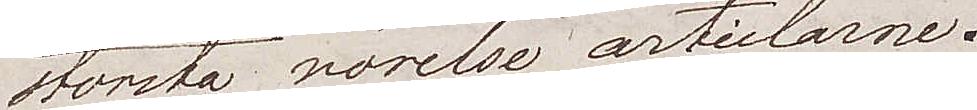största rörelse articlarne.
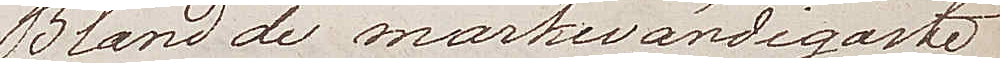Bland de märkwärdigaste
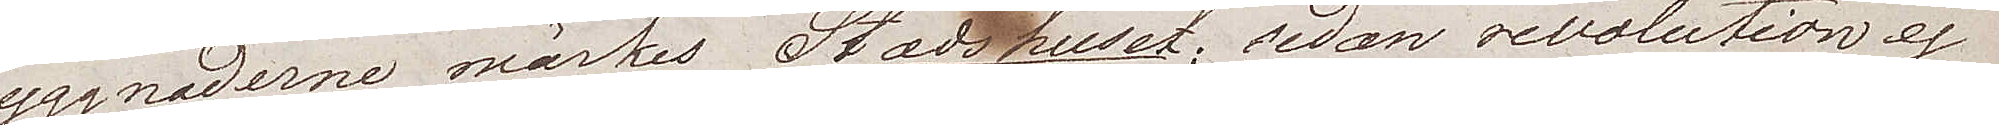byggnaderna märks Stadshuset; sedan revolutionen ej
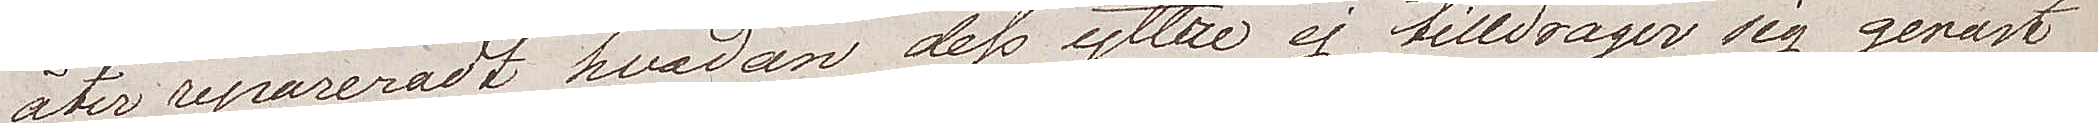åter repareradt hvadan dess yttre ej tilldrager sig genast
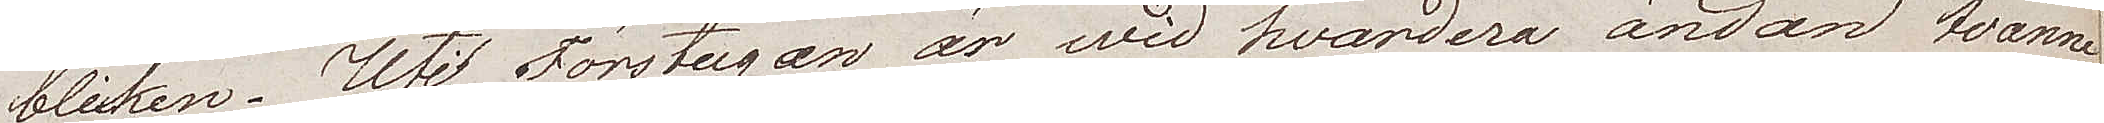blicken. Uti Förstugan är wid hvardera ändan twänne
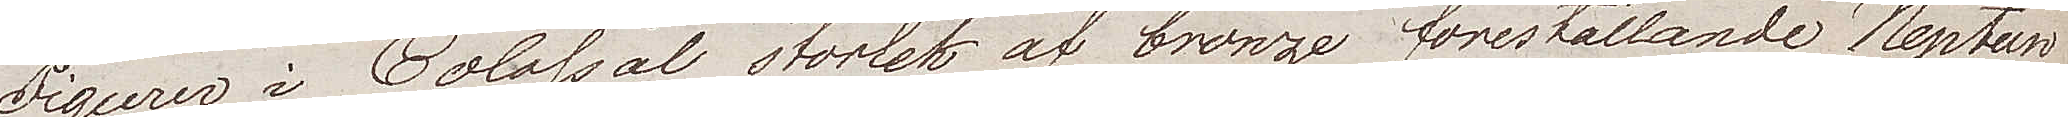Figurer i Colossal storlek af bronze föreställande Neptun
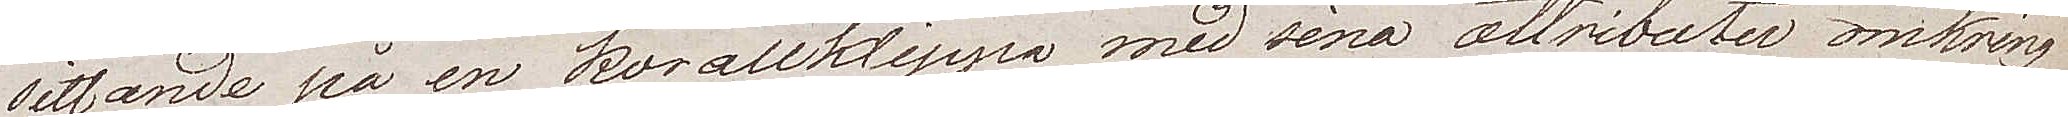sittande på en korallklippa med sina attributer omkring
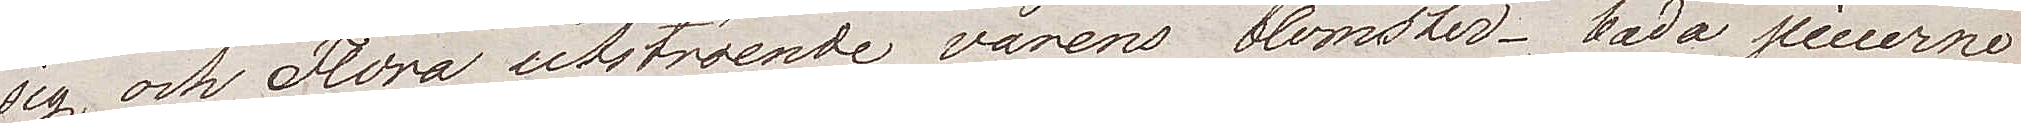sig, och Flora utströende vårens blomster – båda piecerne
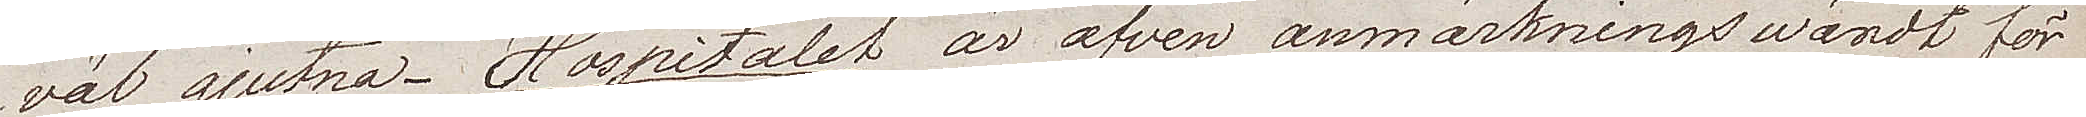väl gjutna. Hospitalet är äfven anmärkningswärdt för
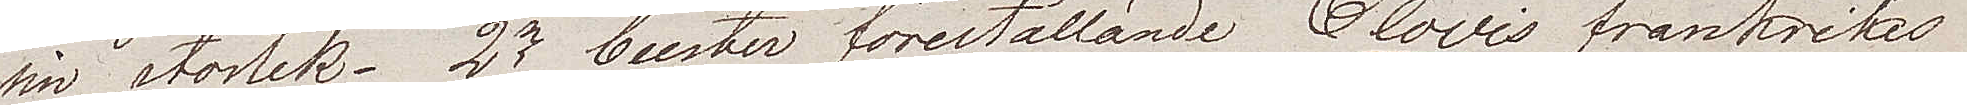sin storlek. 2ne buster föreställande Clovis frankrikes
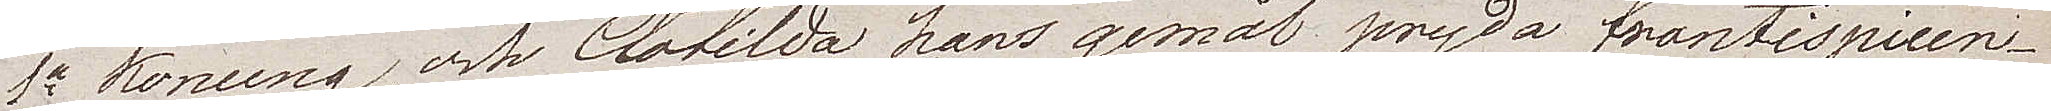1a konung och Clotilda hans gemål pryda frontispicen.
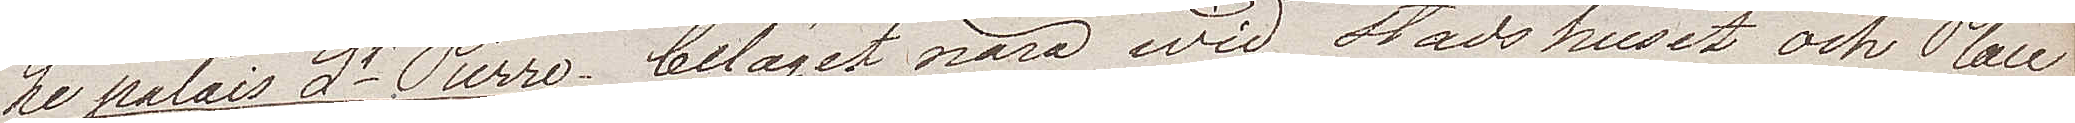Le palais St Pierre beläget nära wid Stadshuset och Place
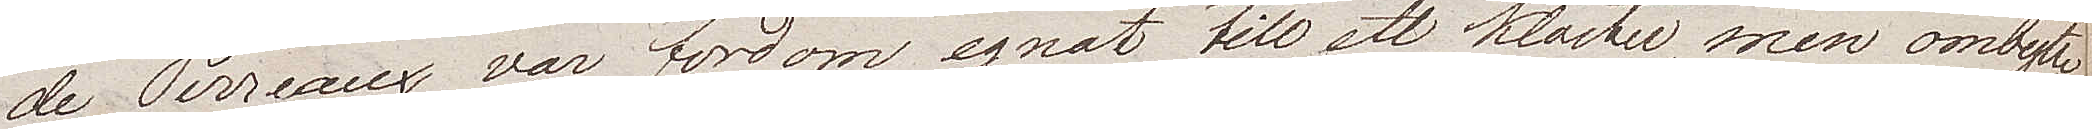de Terreaux var fordom egnat till ett kloster, men ombytte 
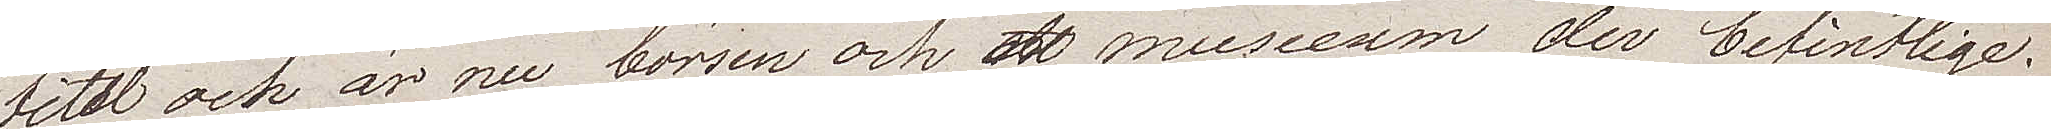titel och är nu börsen och museum der befintlige.
